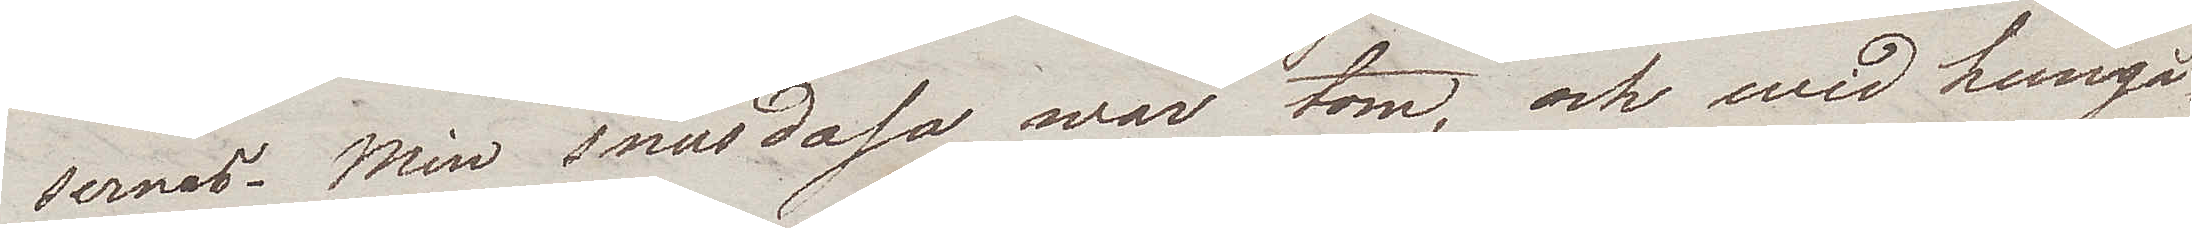sernas. Min snusdosa war tom, och wid hemgå¬
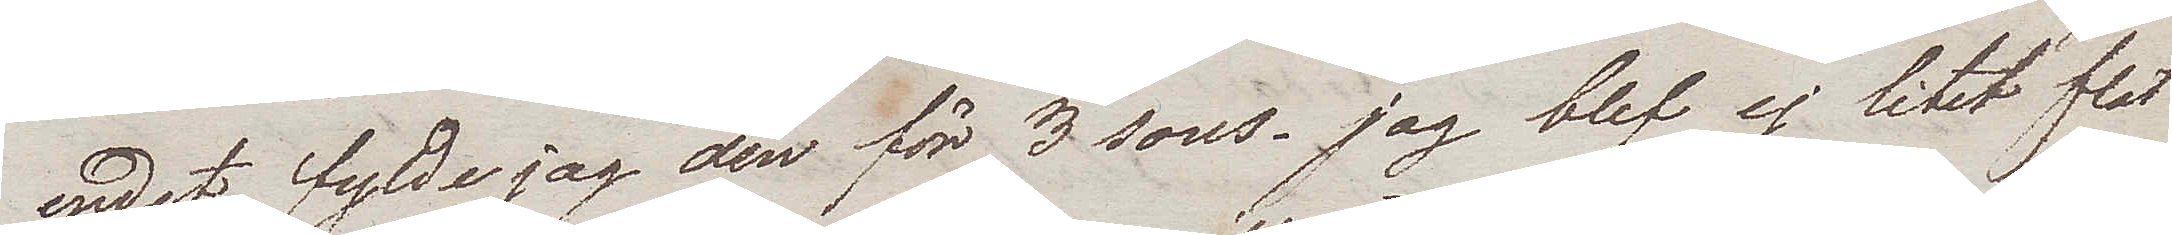endet fylde jag den för 3 sous. Jag blef ej litet flat
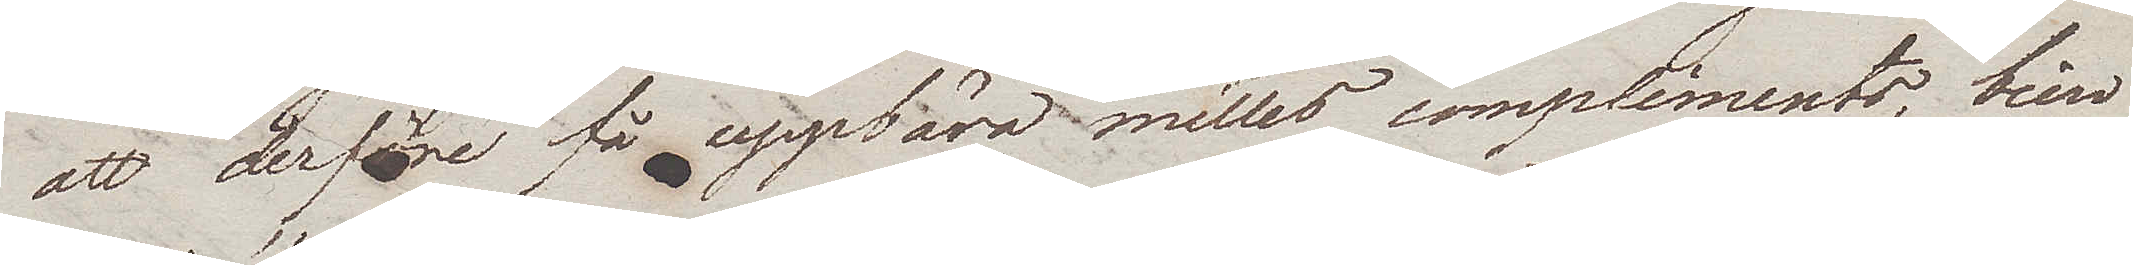att derföre få uppbära milles compliments, bien
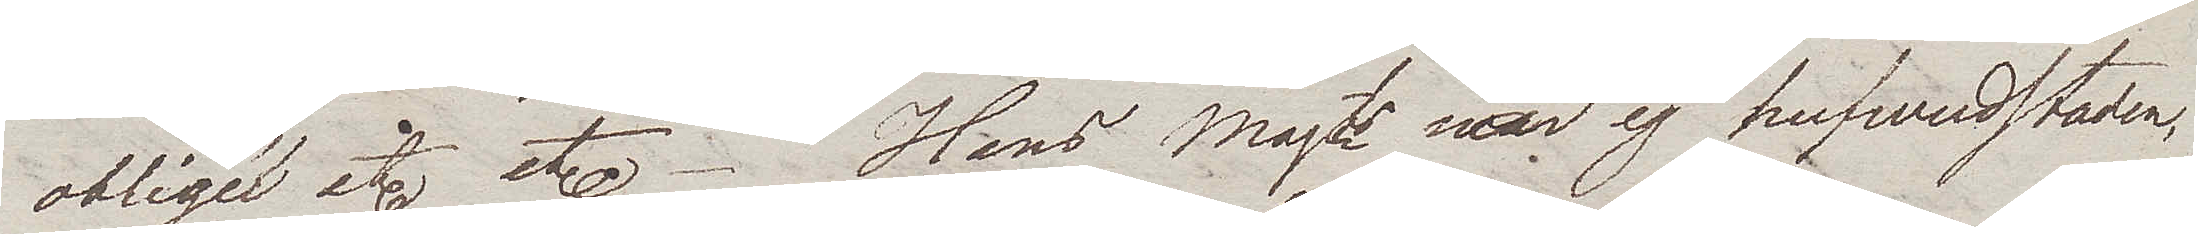obligé etc etc. Hans Majt är ej i hufvudstaden,
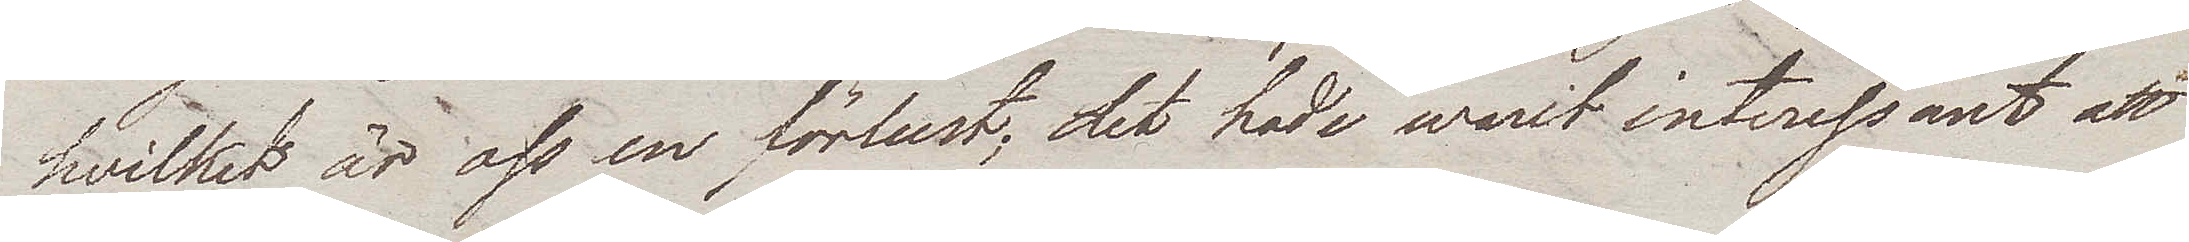hvilket är oss en förlust; det hade warit interessant att
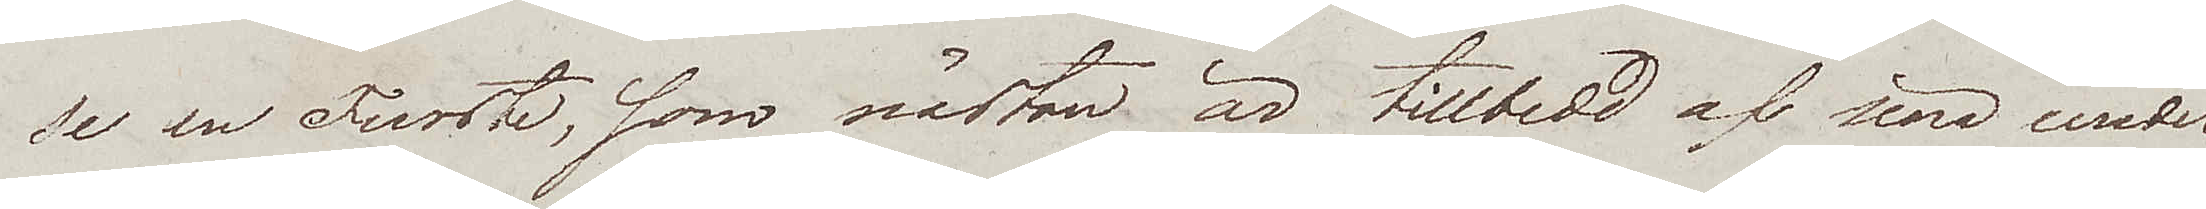se en Furste, som nästan är tillbedd af sina under¬
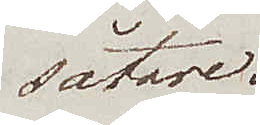såtare.
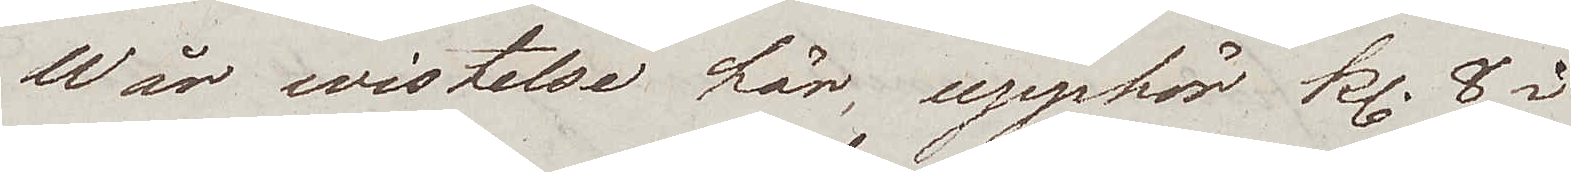Wår wistelse här, upphör kl. 8 i
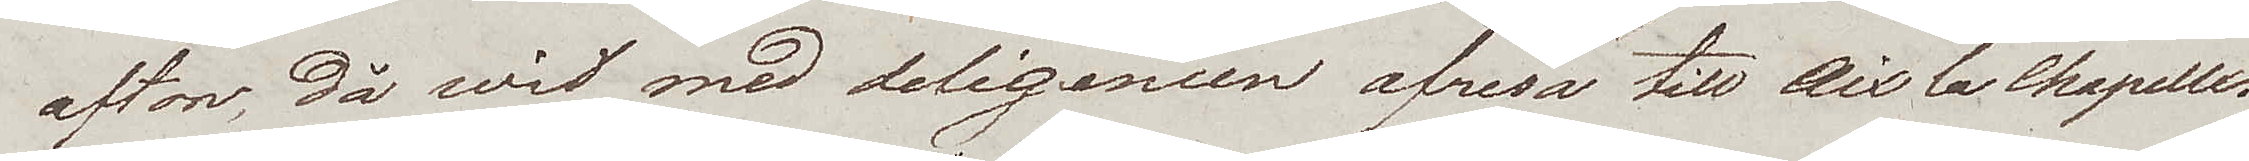afton, då wi med deligencen afresa till Aix la Chapelle.
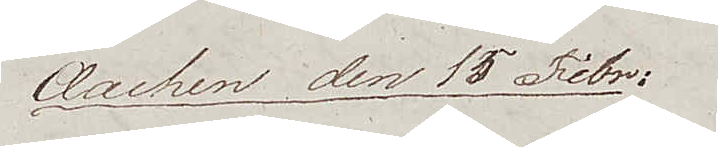Aachen den 15 Febr.
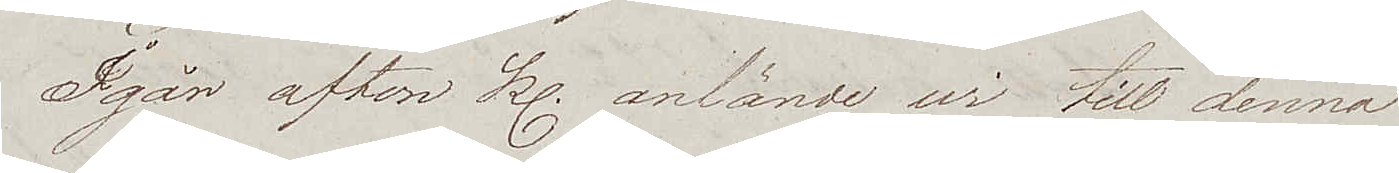Igår afton kl. anlände wi till denna
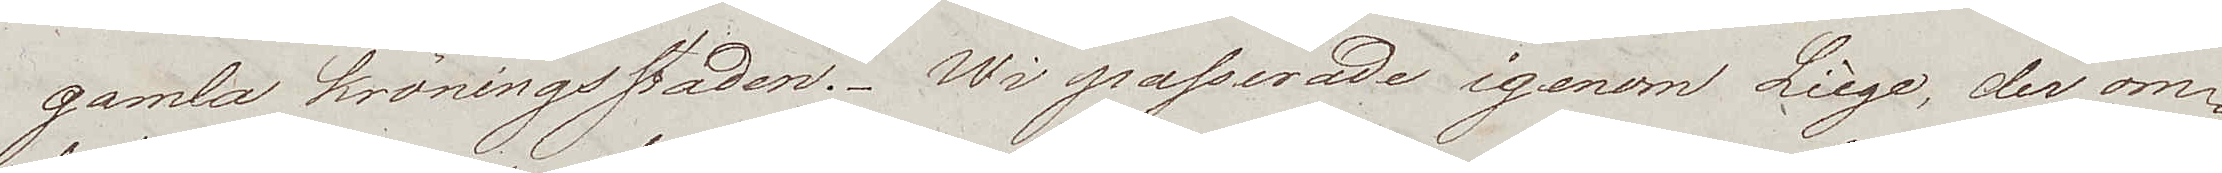gamla kröningsstaden. Wi passerade igenom Liège, der om¬
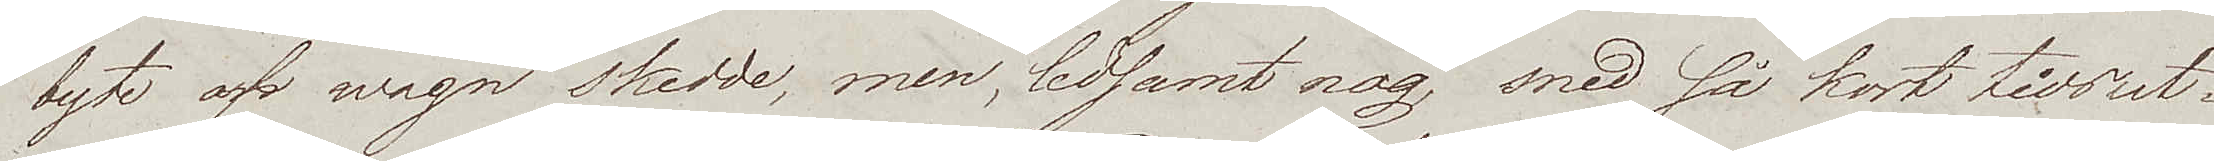byte af wagn skedde, men, ledsamt nog, med så kort tidsut¬
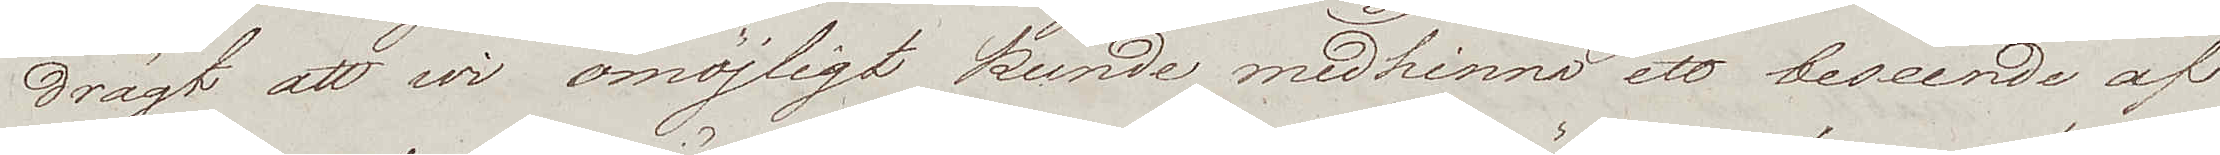drägt att wi omöjligt kunde medhinna ett beseende af
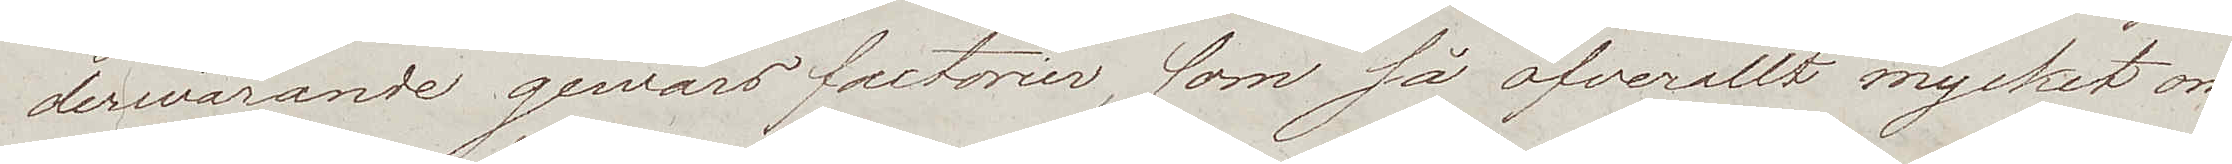derwarande gewärsfactorier, som så öfverallt mycket om¬
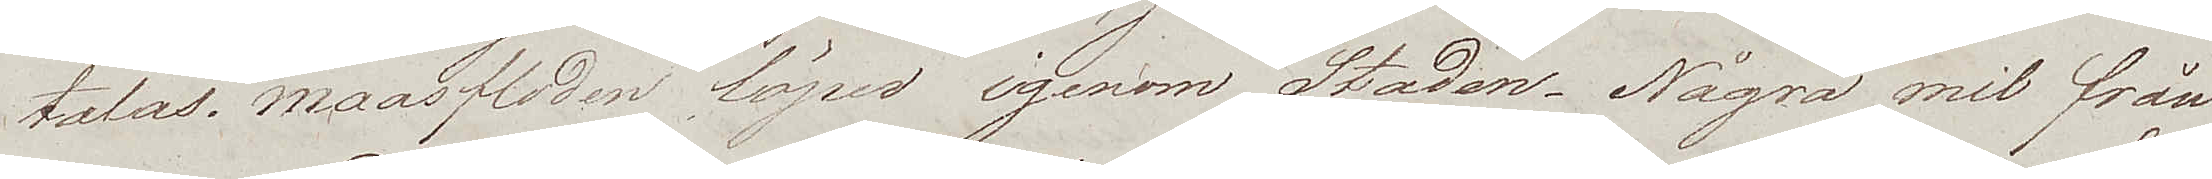talas. Maasfloden löper igenom Staden. Några mil från
